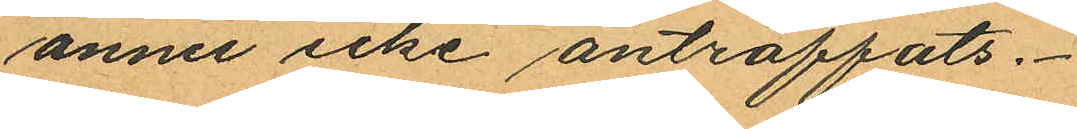ännu icke anträffats.
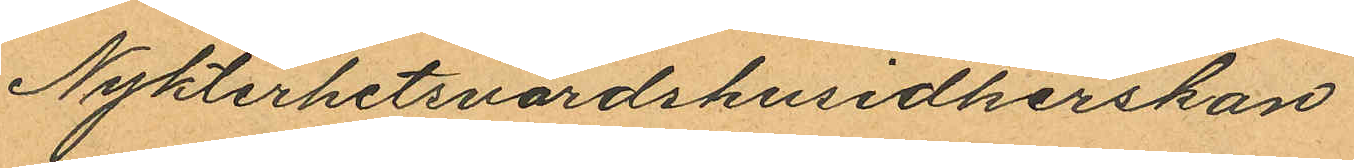Nykterhetsvärdshusidkerskan
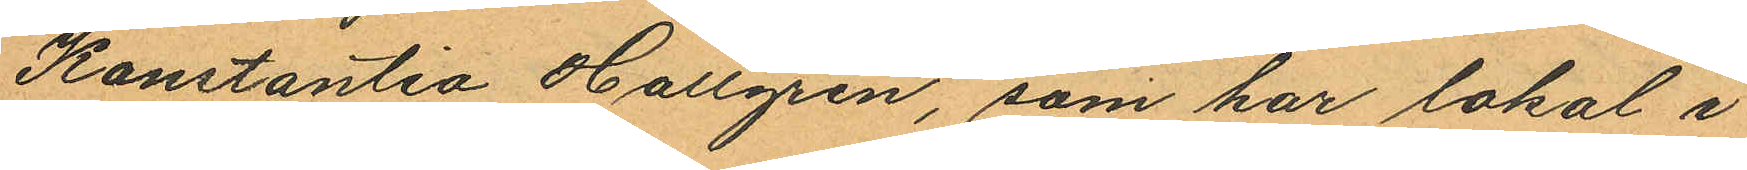Konstantia Hallgren, som har lokal i
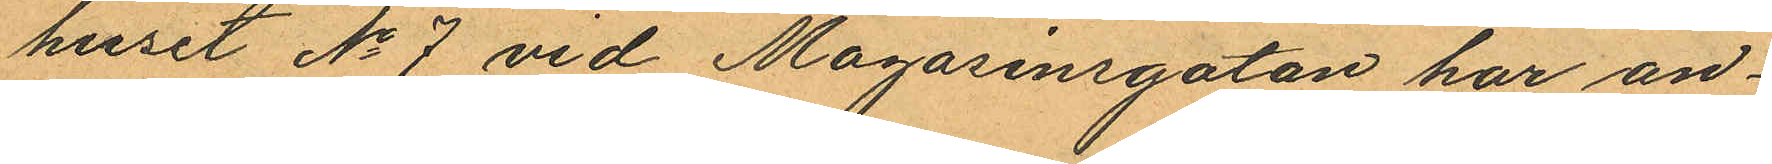huset No 7 vid Magasinsgatan har an¬
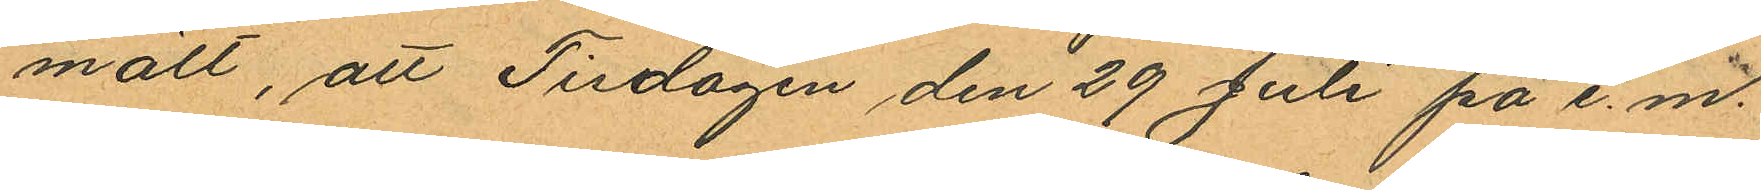mält, att Tisdagen den 29 Juli på e. m.
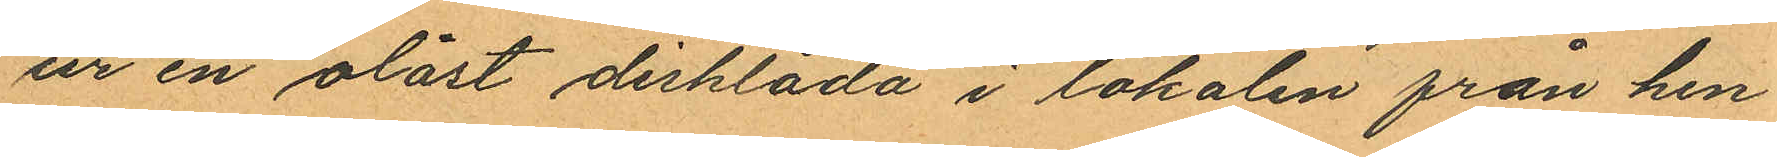ur en olåst disklåda i lokalen från hen¬
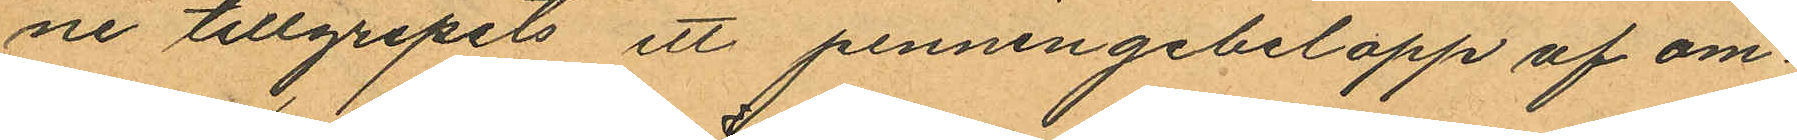ne tillgripits ett penningebelopp af om¬
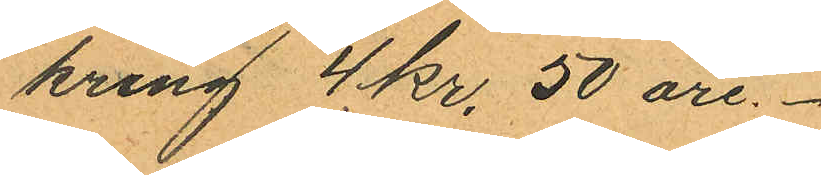kring 4 kr. 50 öre.
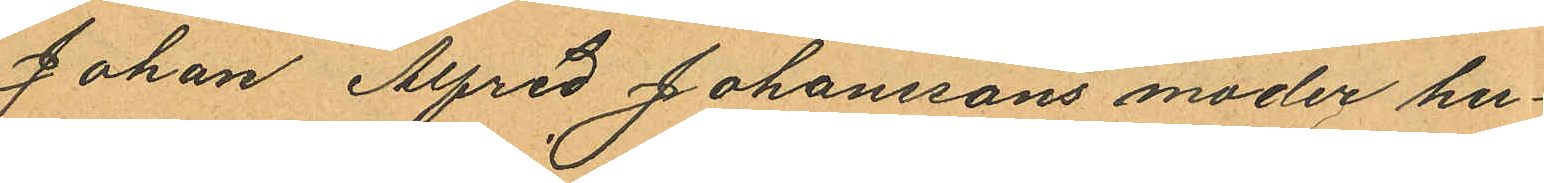Johan Alfred Johanssons moder hu¬
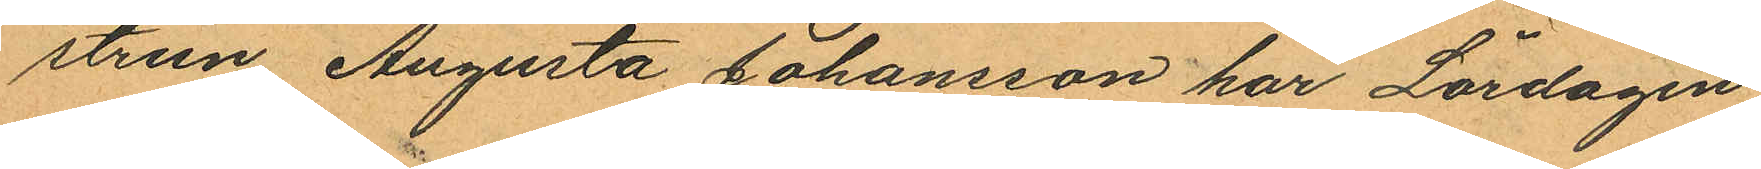strun Augusta Johansson har Lördagen
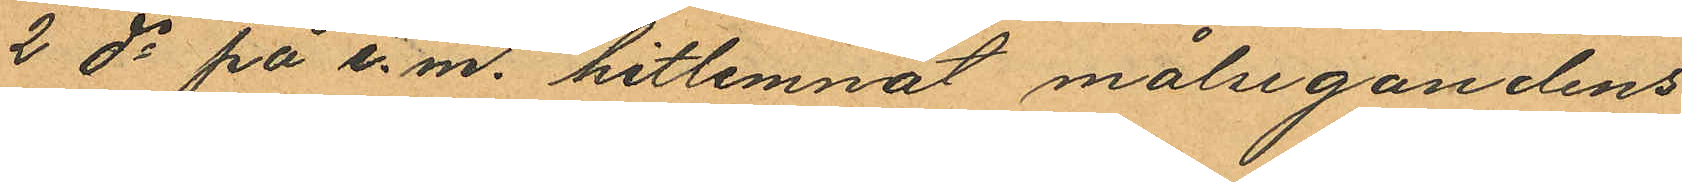2 ds på e.m. hitlemnat målsegandens
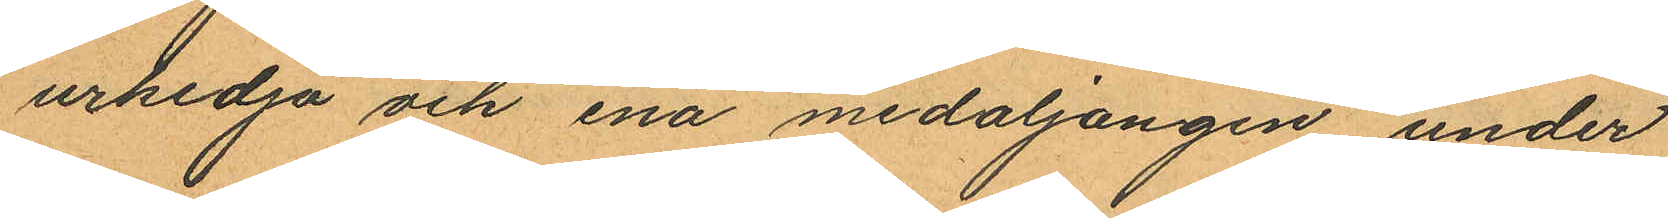urkedja och ena medaljongen under
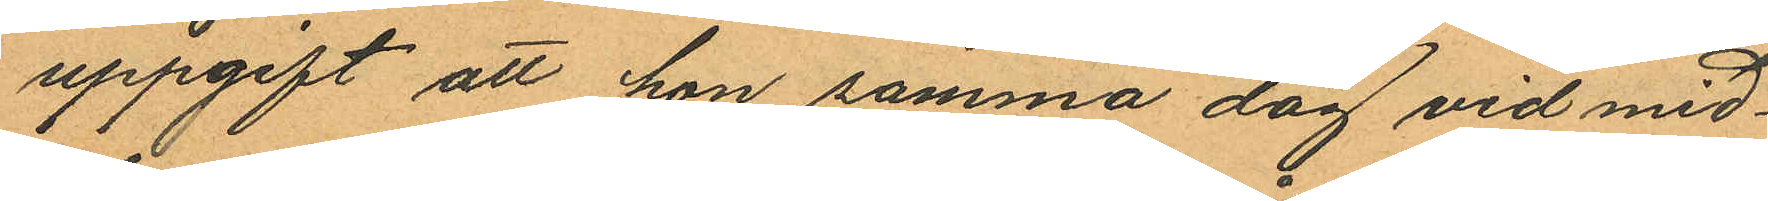uppgift att hon samma dag vid mid¬
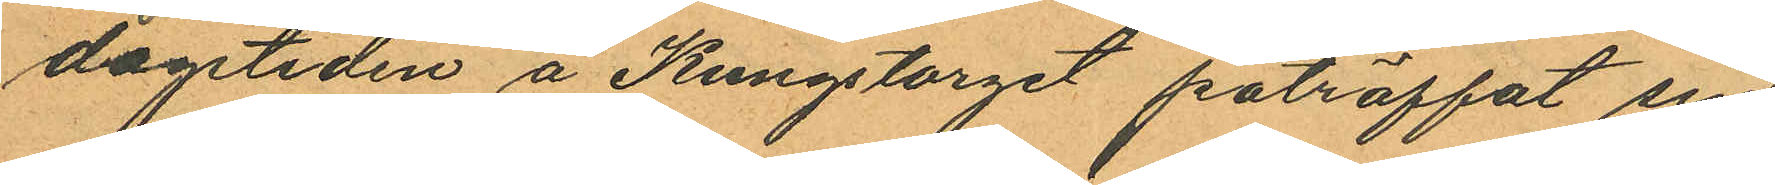dagstiden å Kungstorget påträffat sin
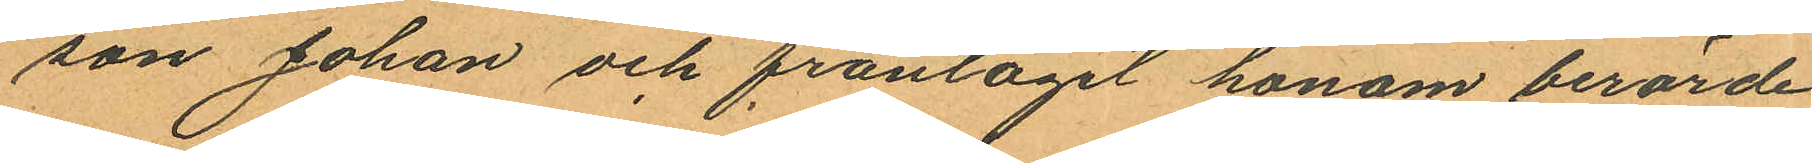son Johan och fråntagit honom berörde
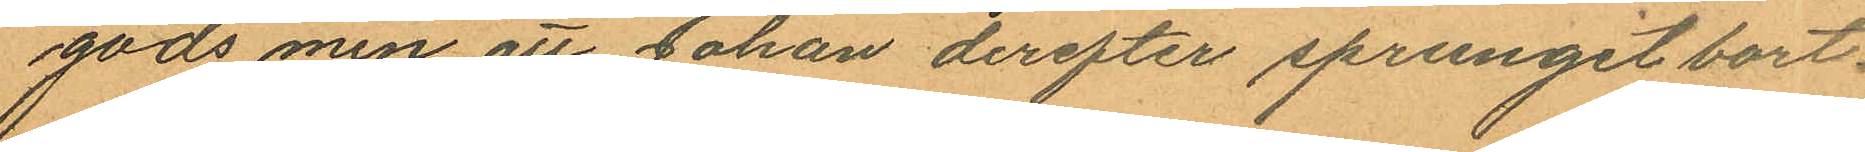gods men att Johan derefter sprungit bort.
